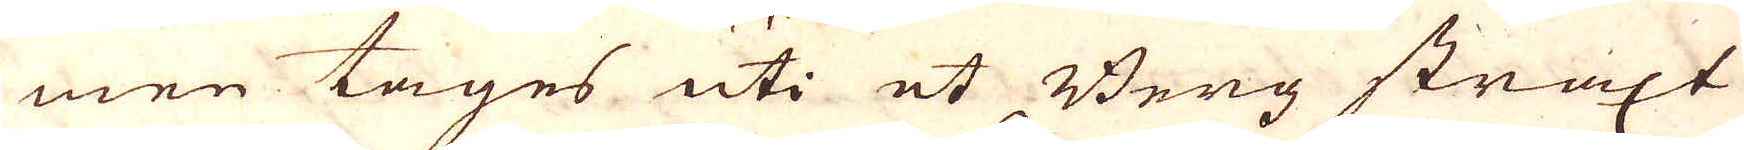men tages uti et Berg straxt
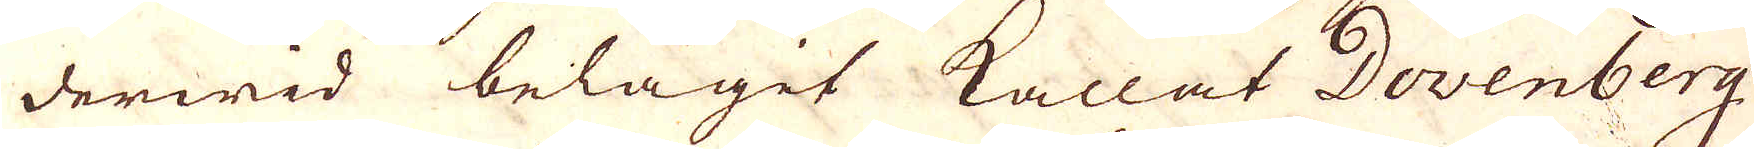derwid belägit kallat Dovenberg,
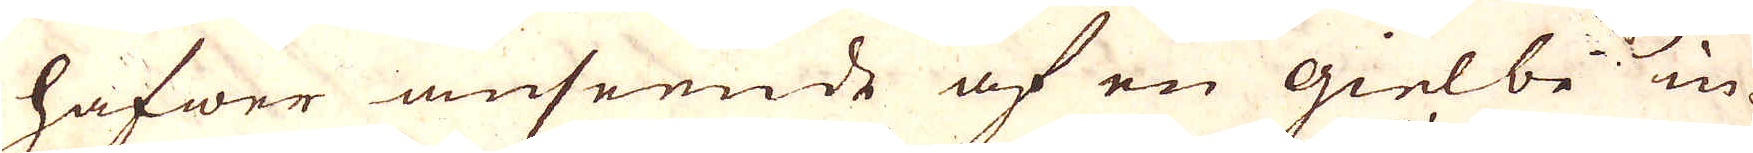hafwer anseende af en gielbe in-
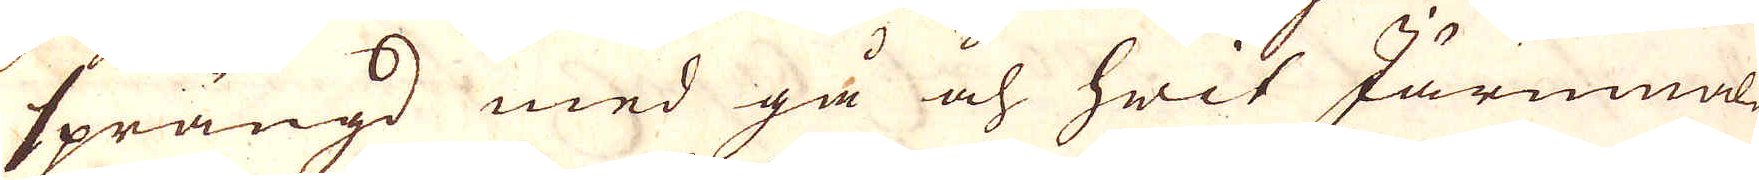sprängd med grå och hwit Järnmalm
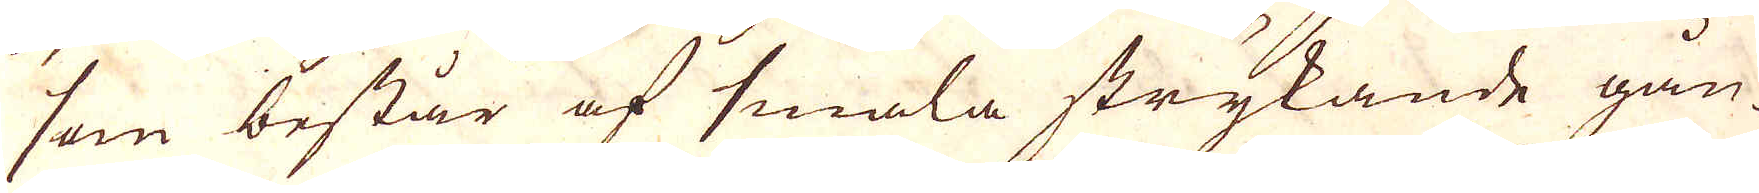som består af smala strykande gån-
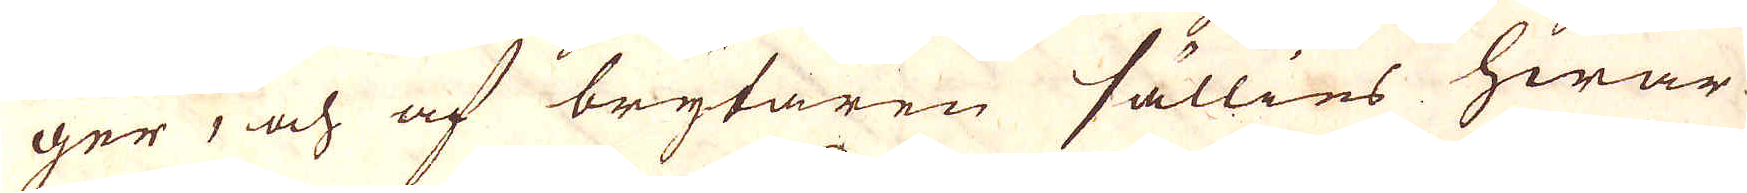ger; och af brytaren sällies hwar-
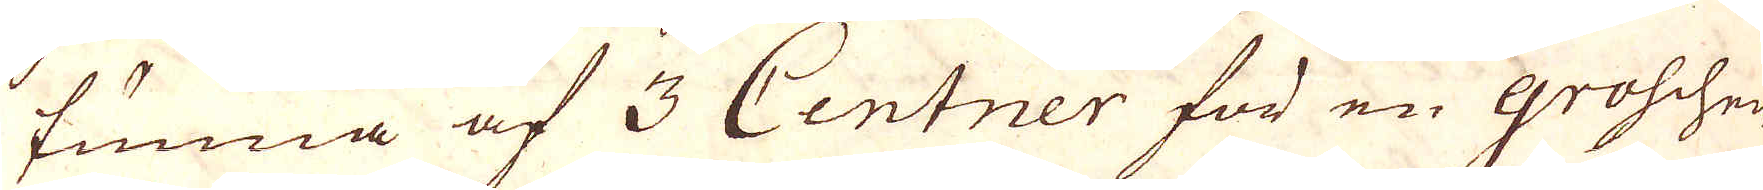tunna af 3 Centner för en groschen
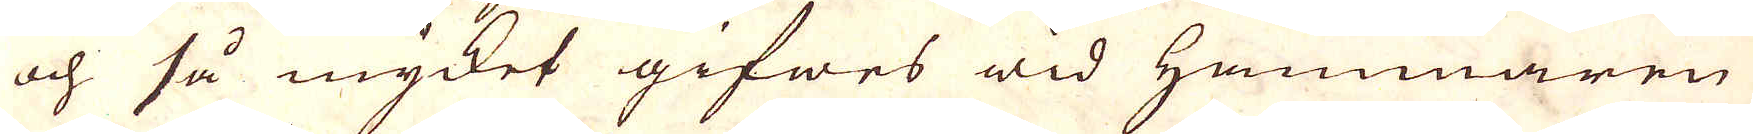och så mycket gifwes wid Hammaren
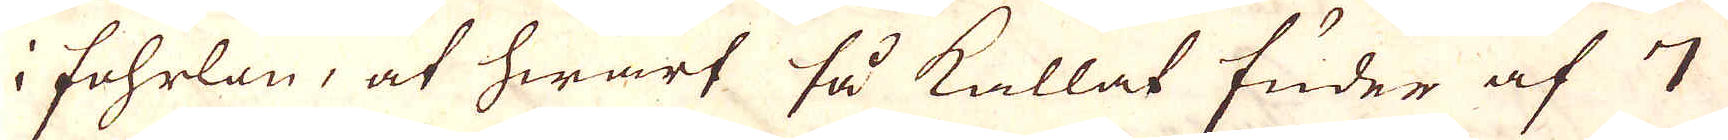i fohrlön, at hwart så kallat fuder af 7
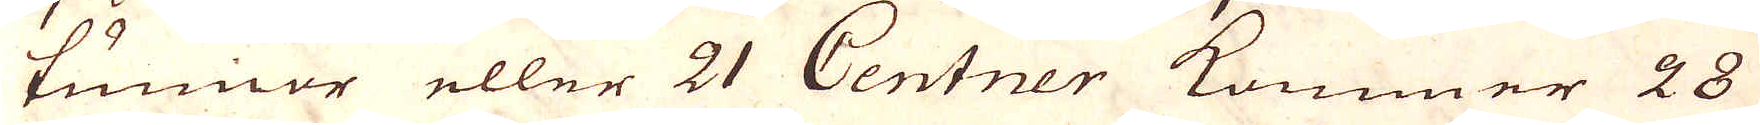tunnor eller 21 Centner kommer 28
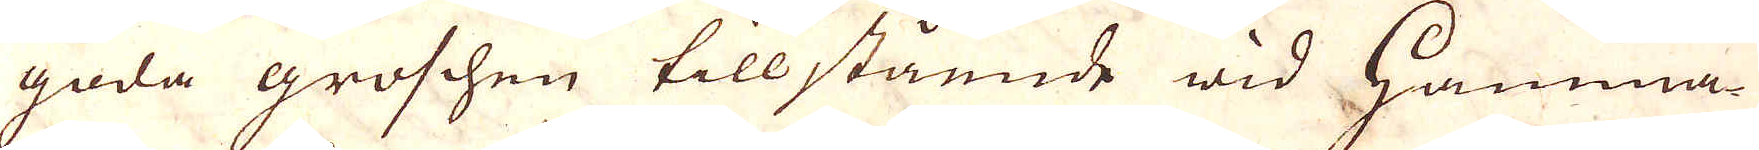goda groshen till stående wih Hamma-
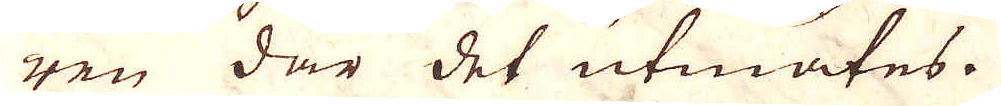ren där det utmätes.
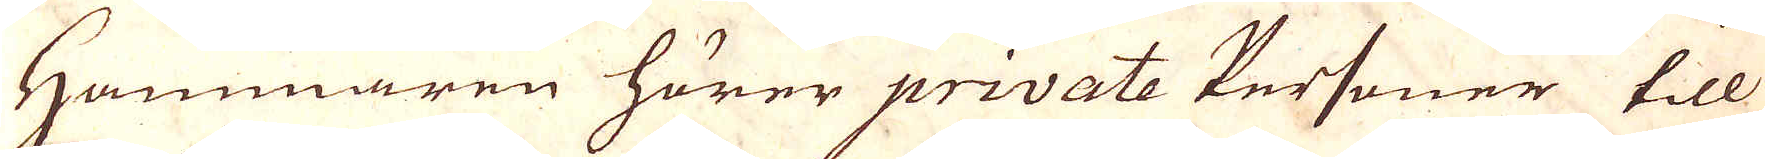Hammaren hörer private Personer till
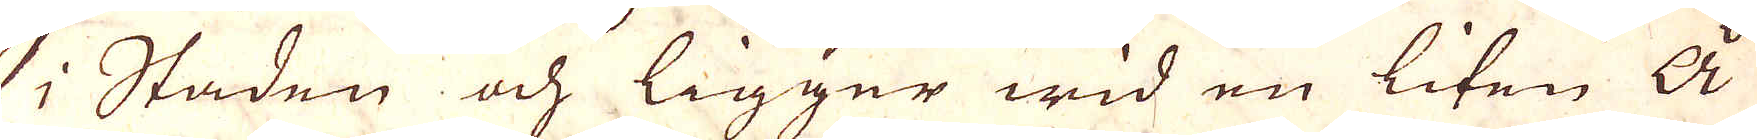i Staden och ligger wid en liten å
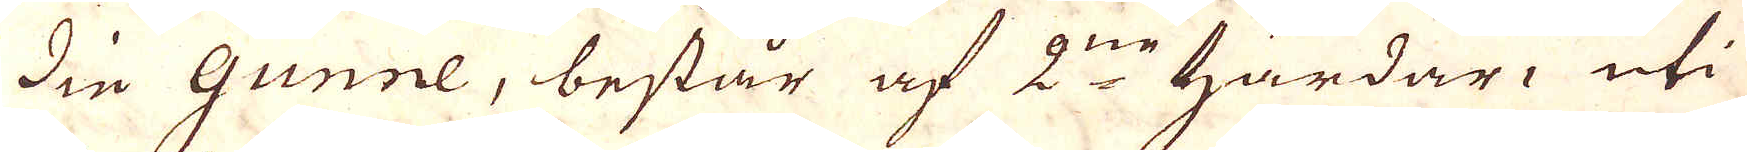die Gunne, består af 2ne härdar, uti
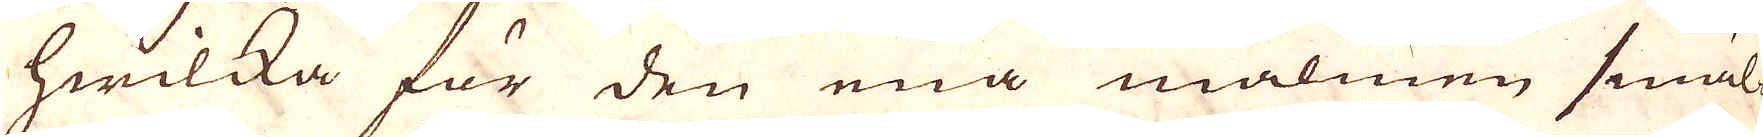hwilka för den ena malmen smäl-
